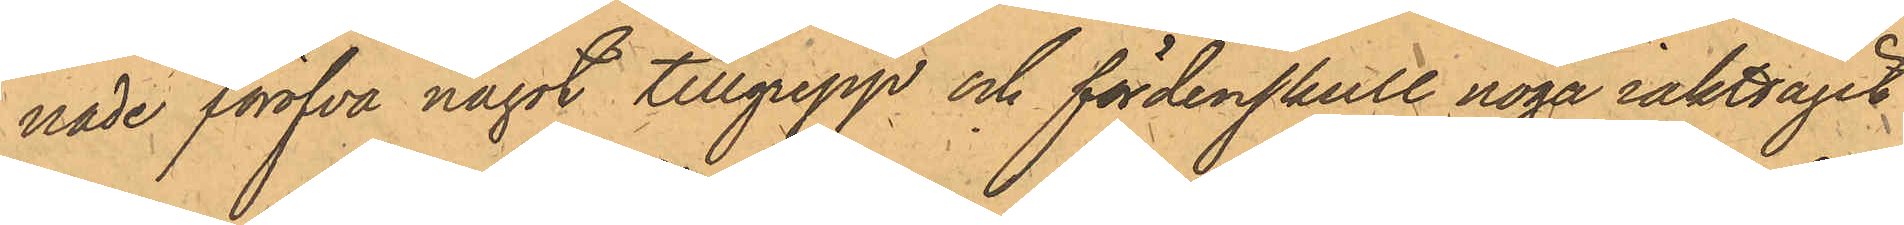nade föröfva något tillgrepp och fördenskull noga iakttagit
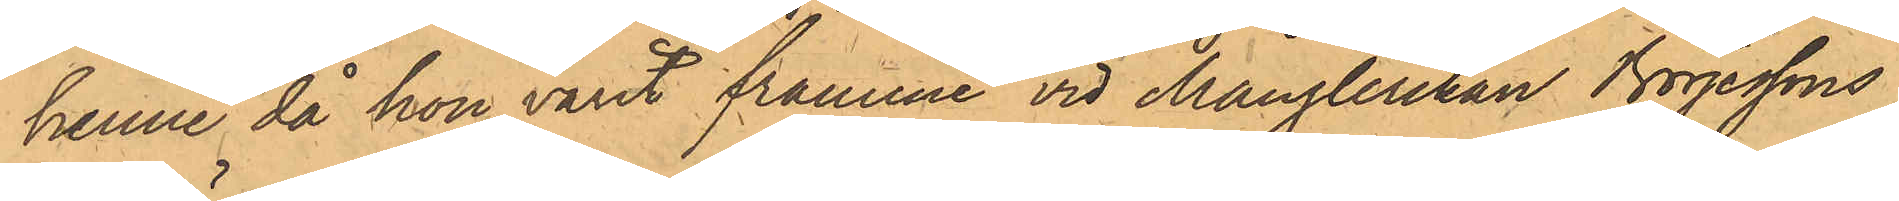henne då hon varit framme vid Månglerskan Börjessons
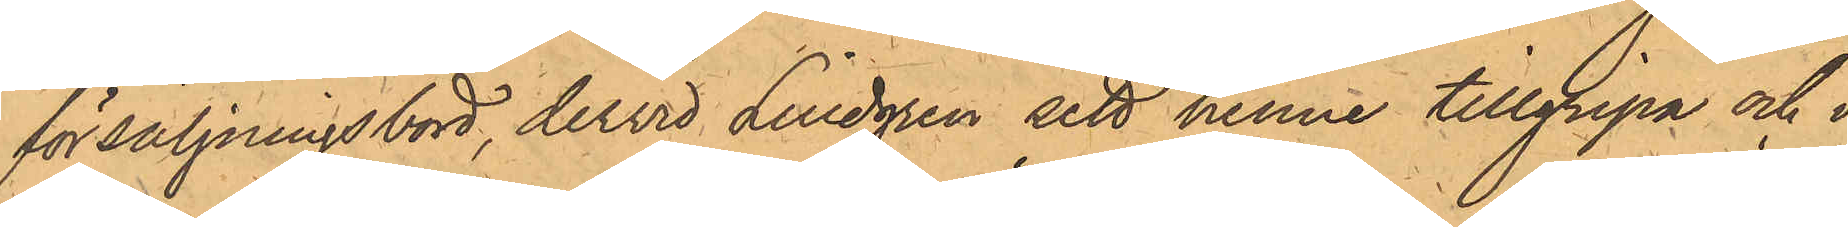försäljningsbord, dervid Lindgren sett henne tillgripa och i
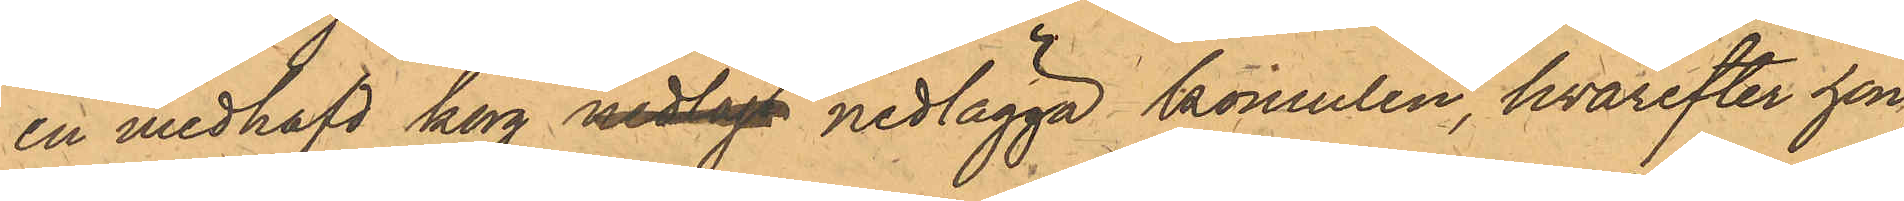en medhafd korg nedlagt nedlägga komulen, hvarefter hon,
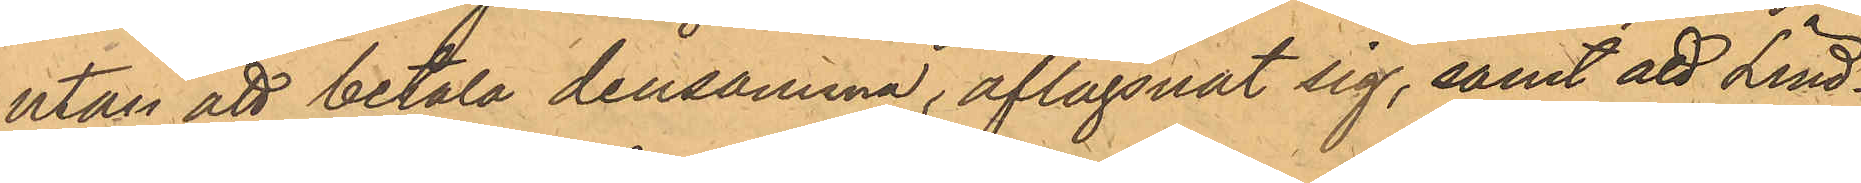utan att betala densamma, aflägsnat sig, samt att Lind¬
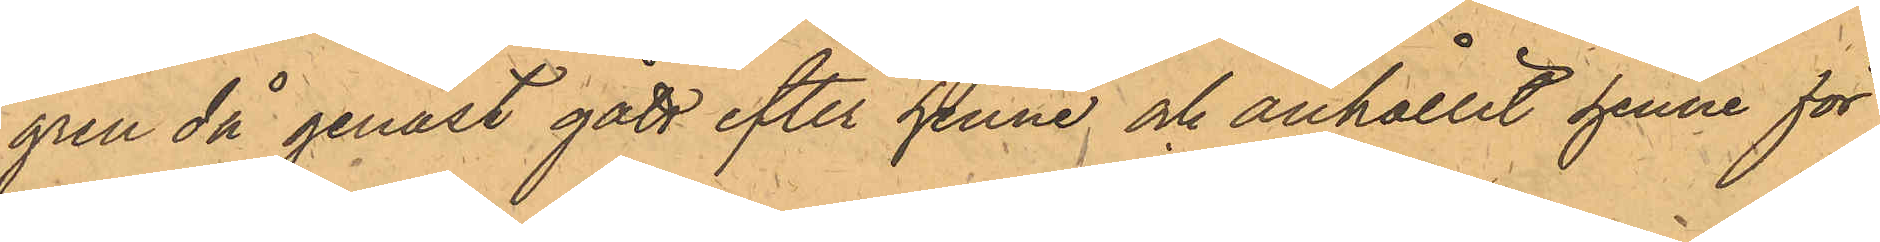gren då genast gått efter henne och anhållit henne för
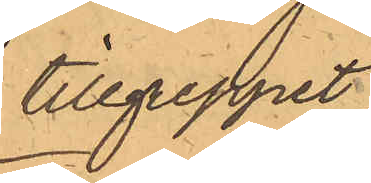tillgreppet;
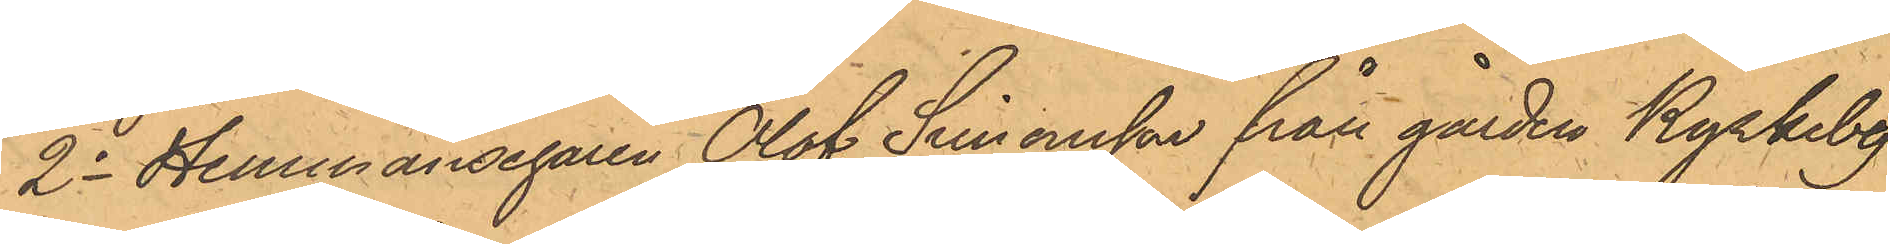2o Hemmansegaren Olof Simonsson från gården Kyrkeby
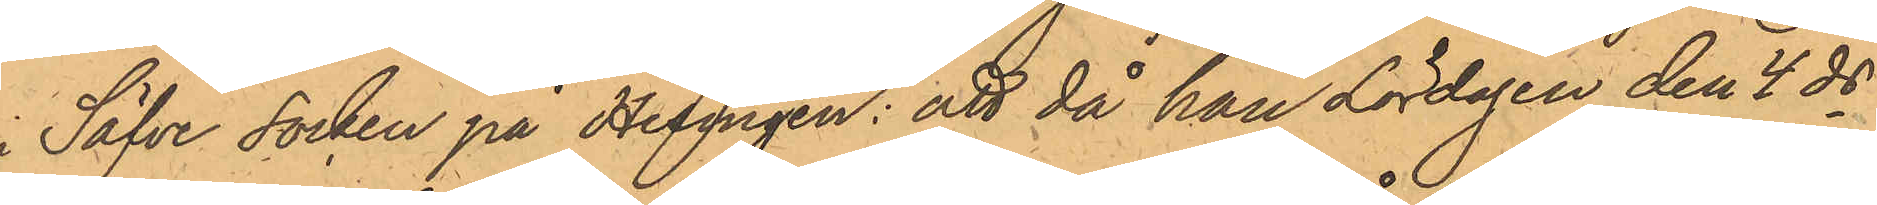i Säfve Socken på Hisingen: att då han Lördagen den 4 ds
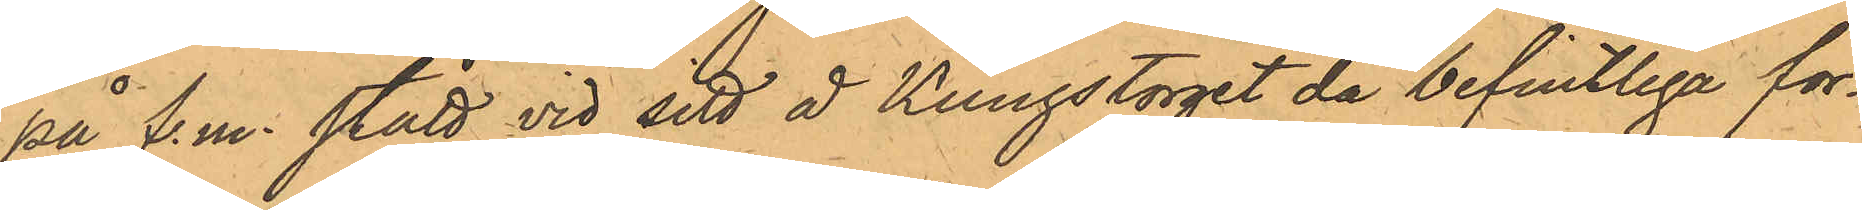på f.m. stått vid sitt å Kungstorget då befintliga for¬
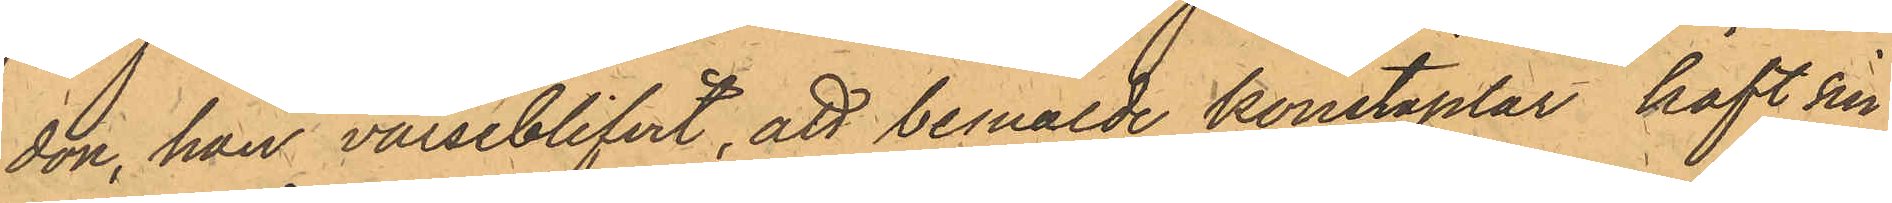don, han varseblifvit, att bemälde konstaplar haft sin
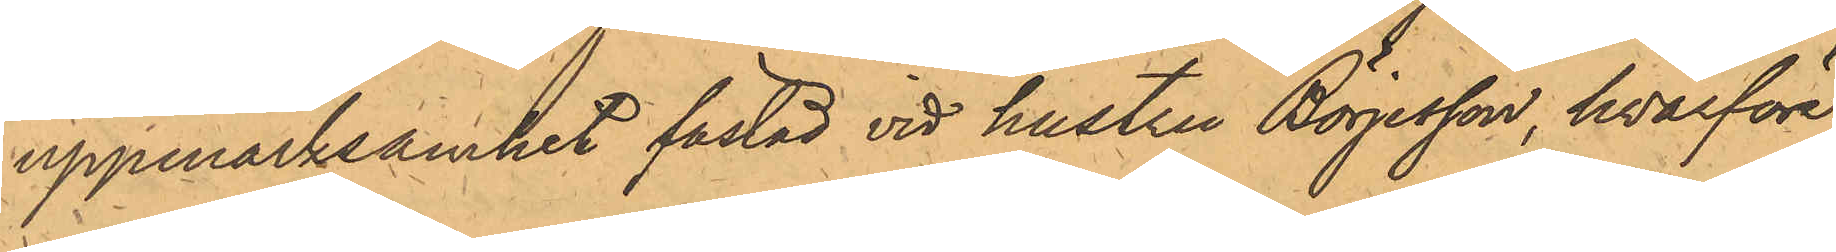uppmärksamhet fästad vid hustru Börjesson, hvarföre
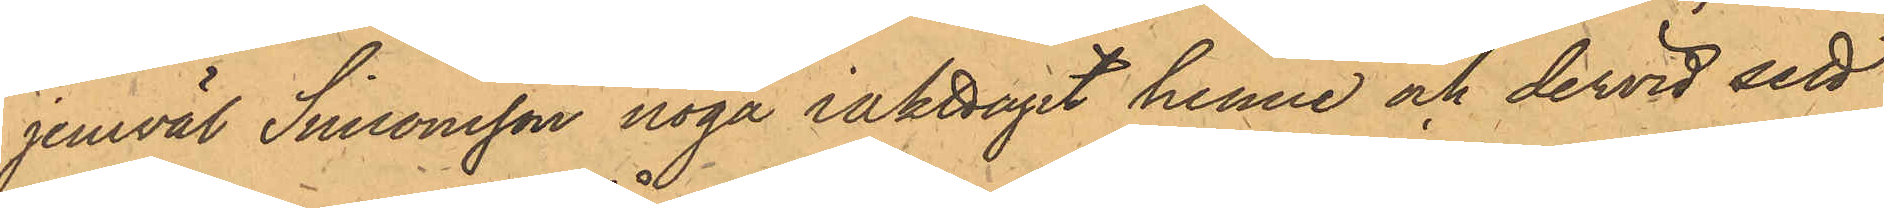jemväl Simonsson noga iakttagit henne och dervid sett
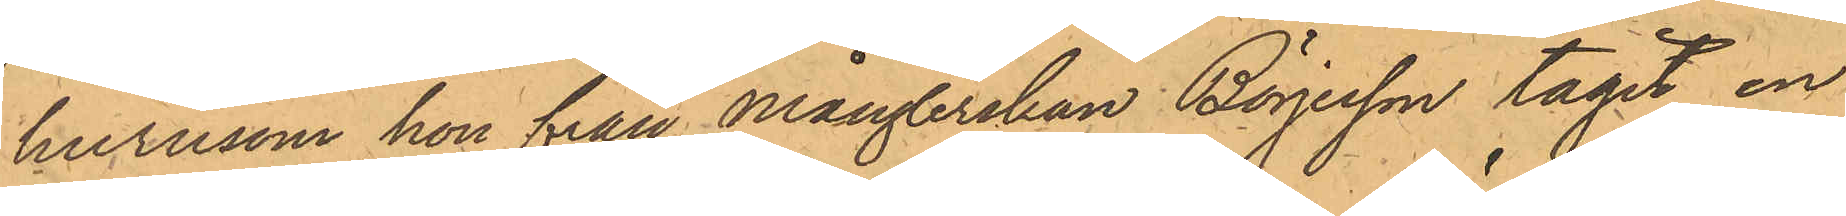hurusom hon från Månglerskan Börjesson tagit en
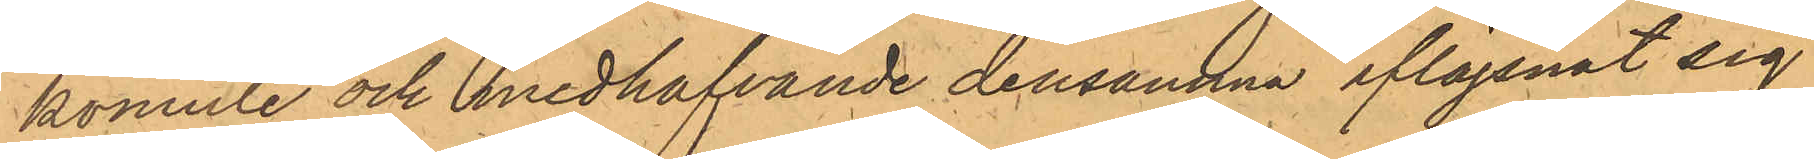komule och medhafvande densamma aflägsnat sig
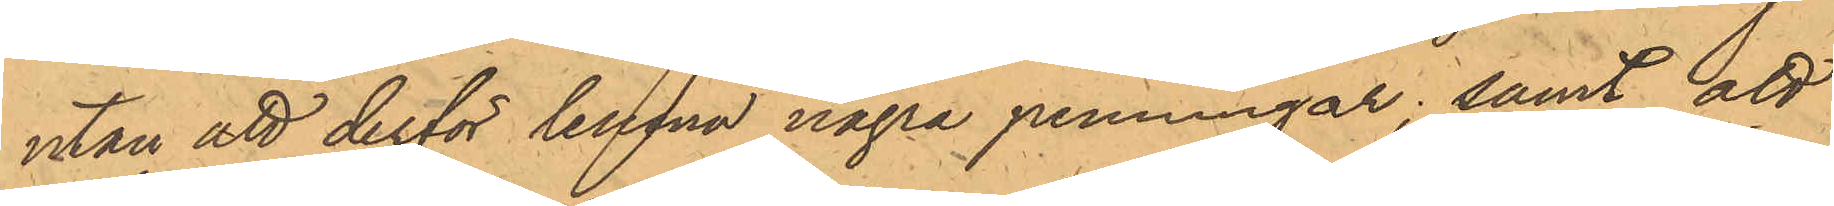utan att derför lemna några penningar; samt att
